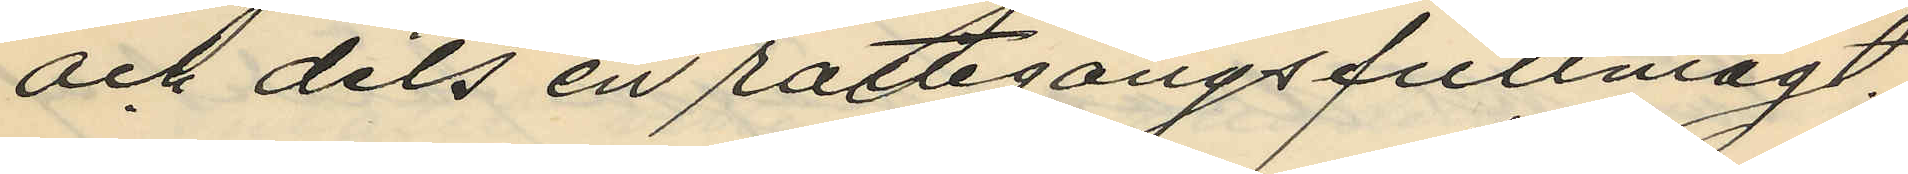och dels en rättegångsfullmagt;
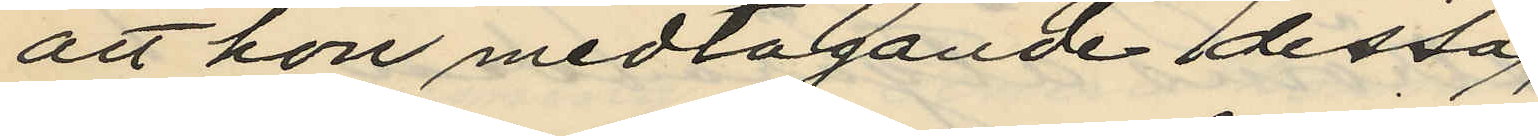att hon medtagande dessa,
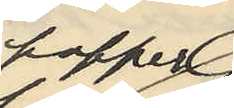papper,
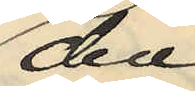den
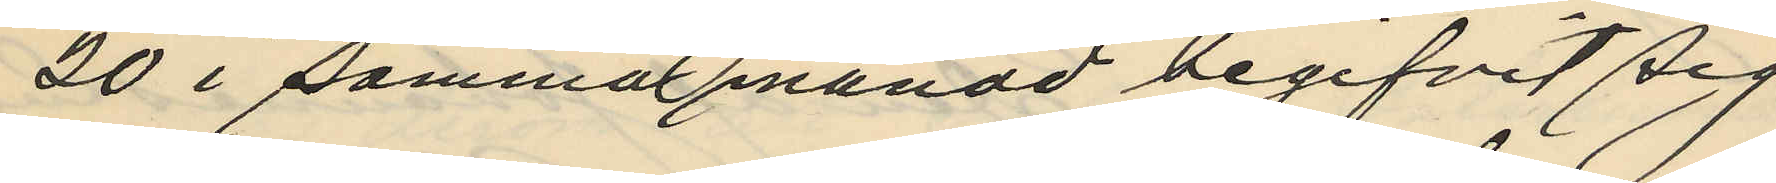20 i samma månad begifvit sig
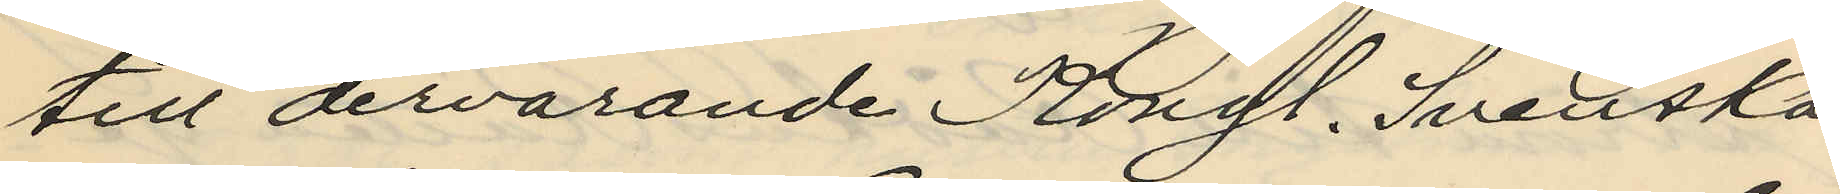till dervarande Kongl. Svenska
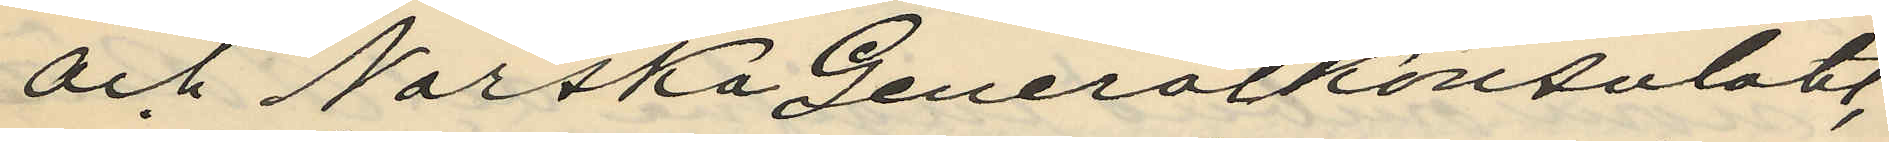och Norska Generalkonsulatet,
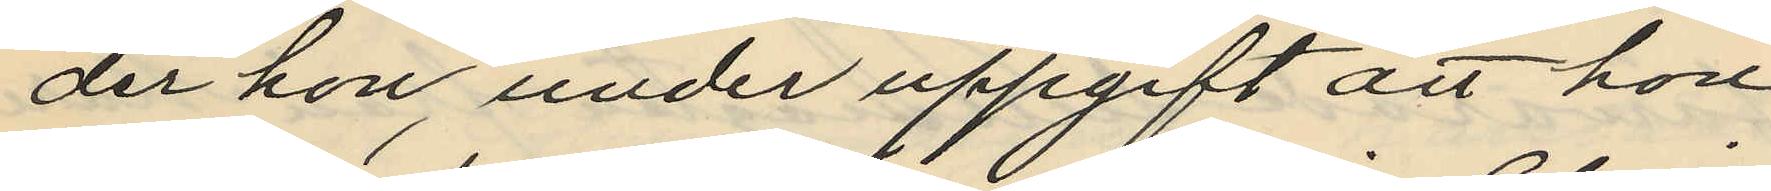der hon, under uppgift att hon
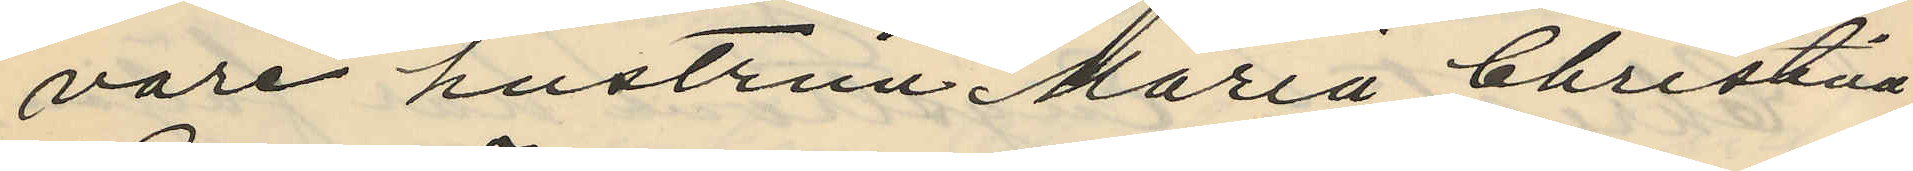vare hustrun Maria Christina
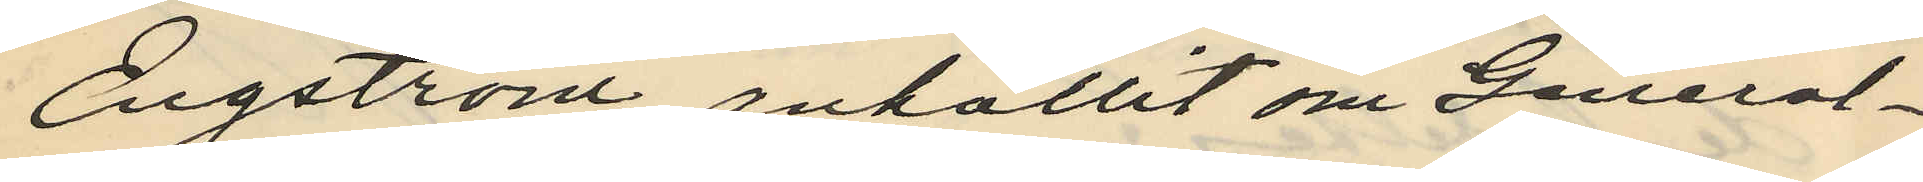Engström, anhållit om General¬
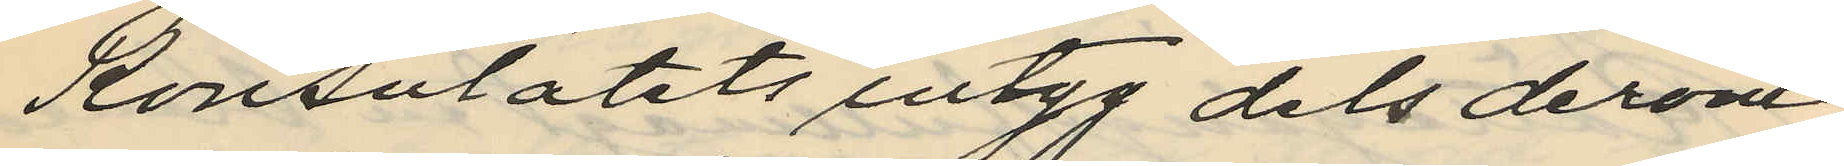Konsulatets intyg dels derom
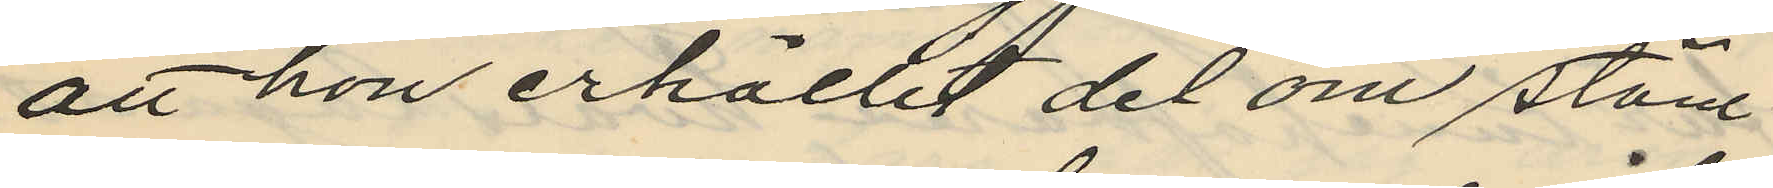att hon erhållit del om stäm¬
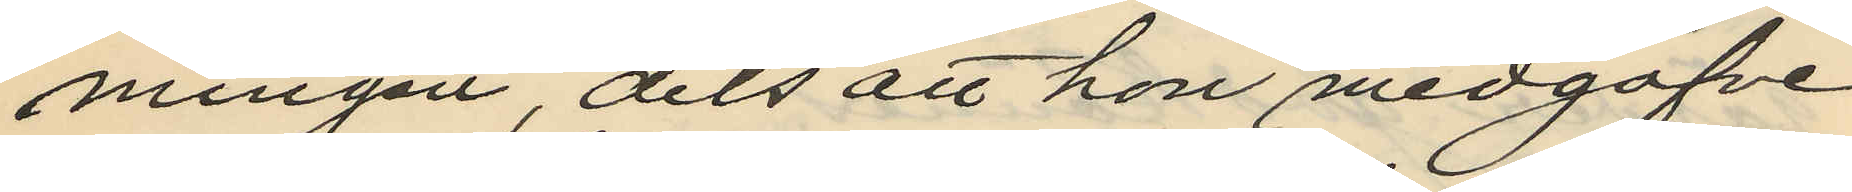ningen, dels att hon medgåfve
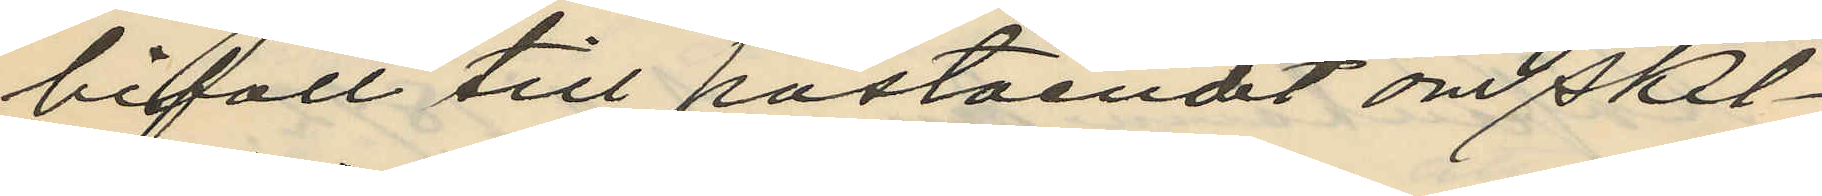bifall till påståendet om skil¬
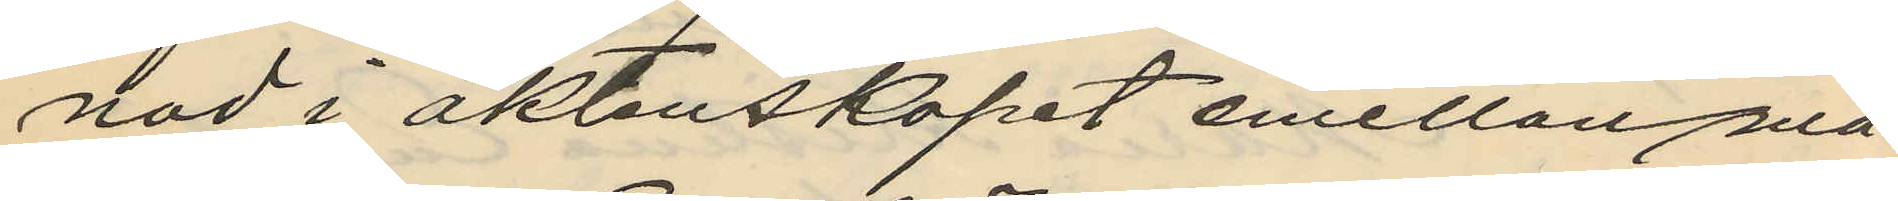nad i äktenskapet emellan ma¬
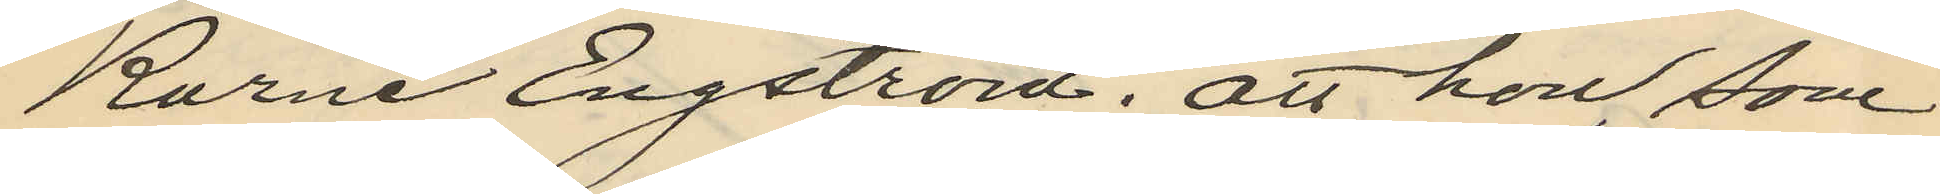Karne Engström; att hon, som
